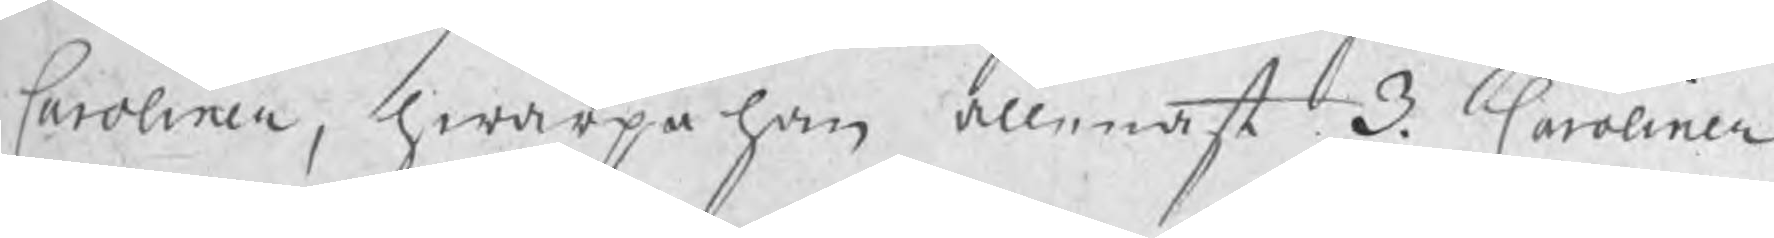Caroliner, hwarpå han allenast 3. Caroliner
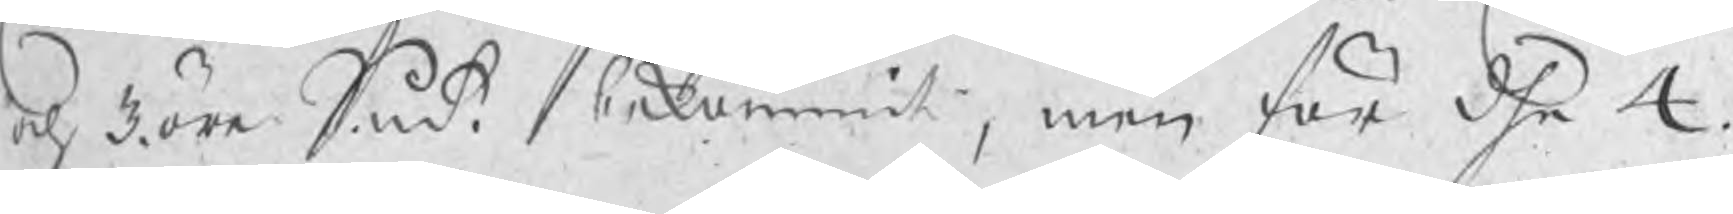och 3. öre Smt. bekommit, men för dhe 4.
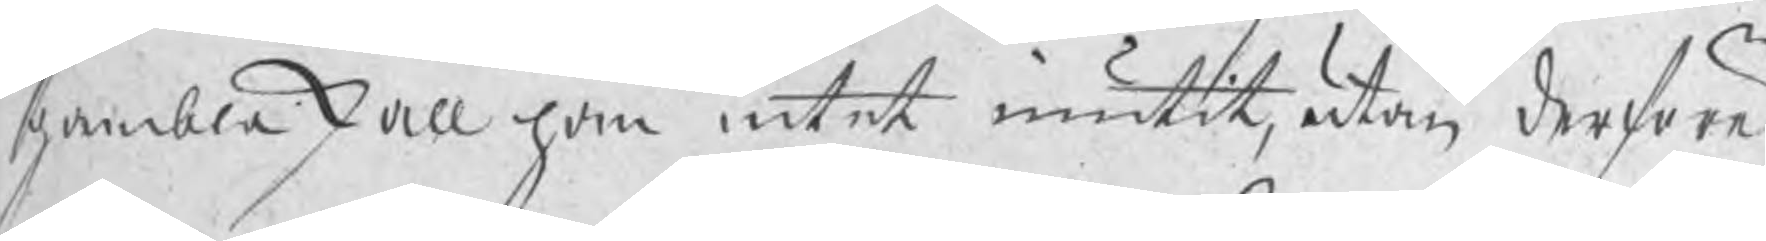gambla skall han intet niutit, utan derföre
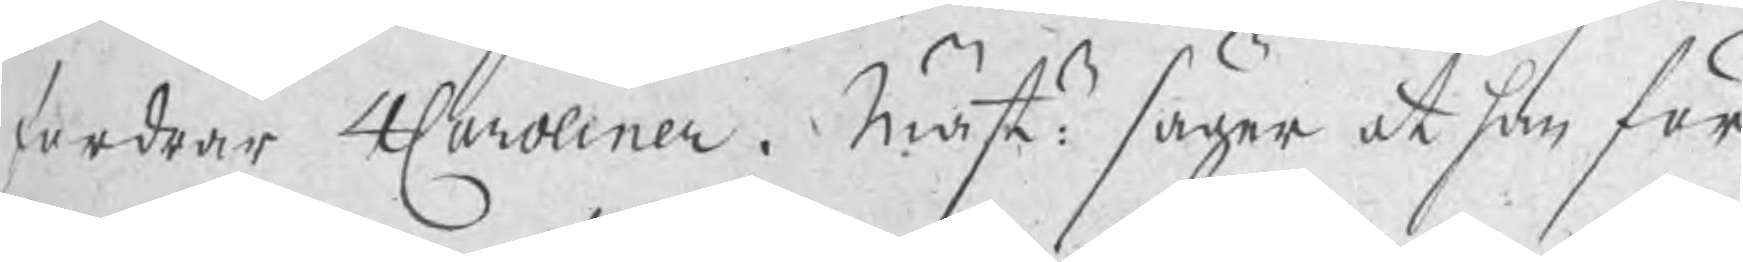fordrar 4 Caroliner. Mästn: säger at han för 
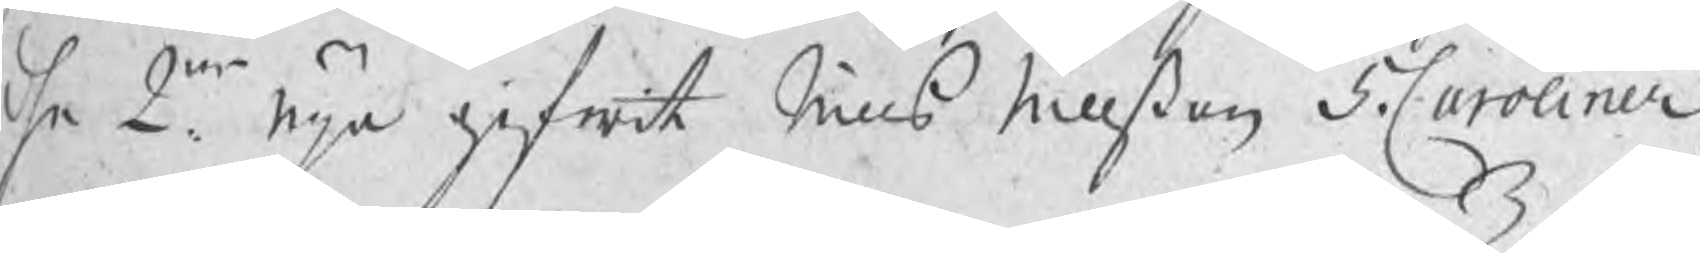dhe 2ne. nya gifwit Nills Nillßon 5. Caroliner
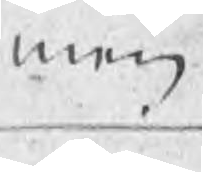men
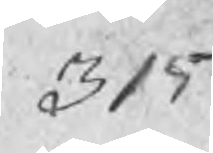315
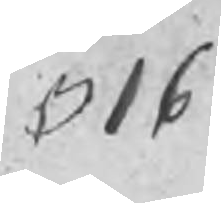316
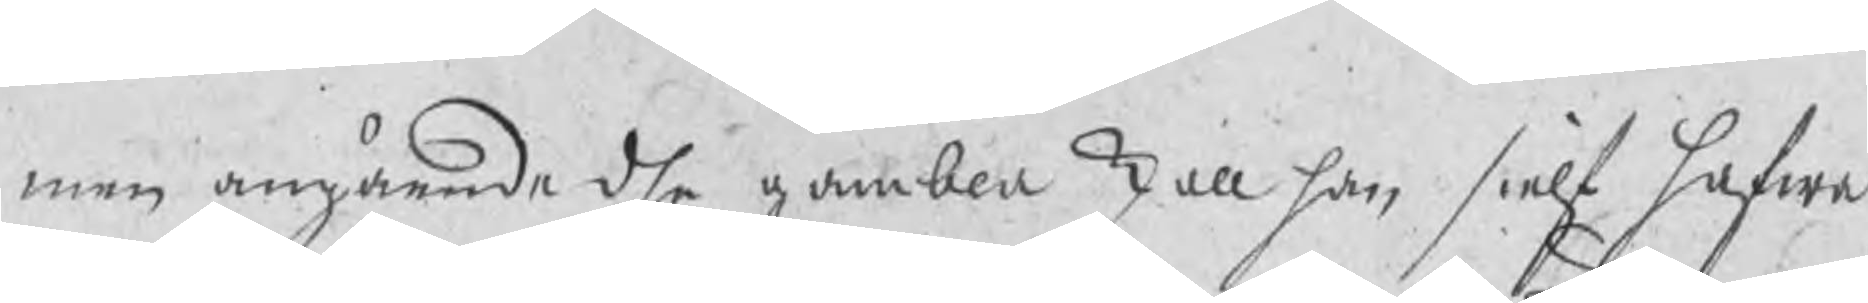men angående dhe gambla skall han sielf hafwa
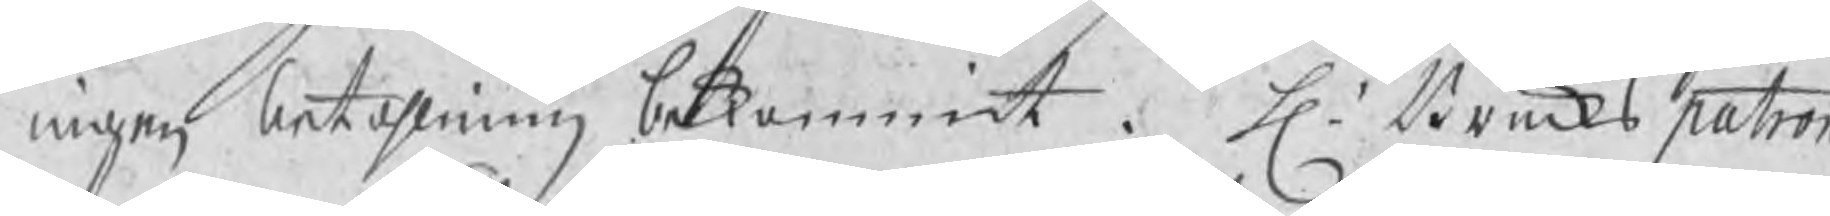ingen betahlning bekommit. H. Brukspatron
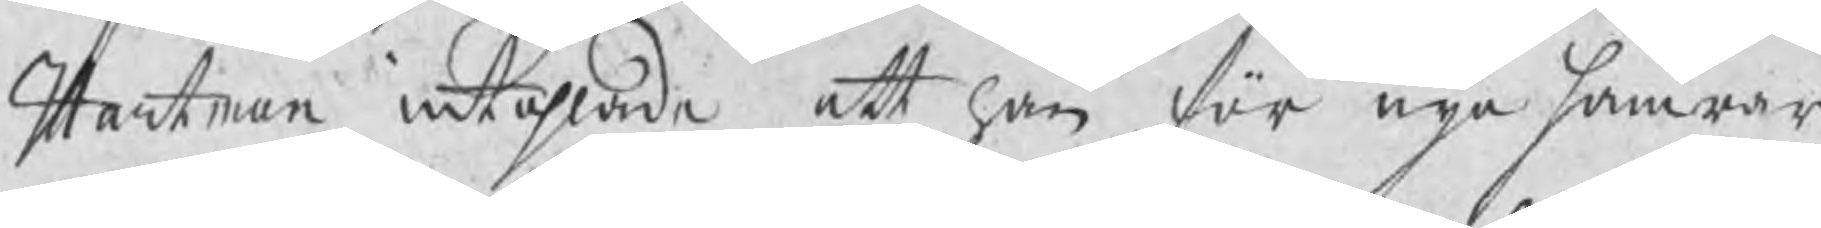Hartman intahlade att han, för nya hamrar
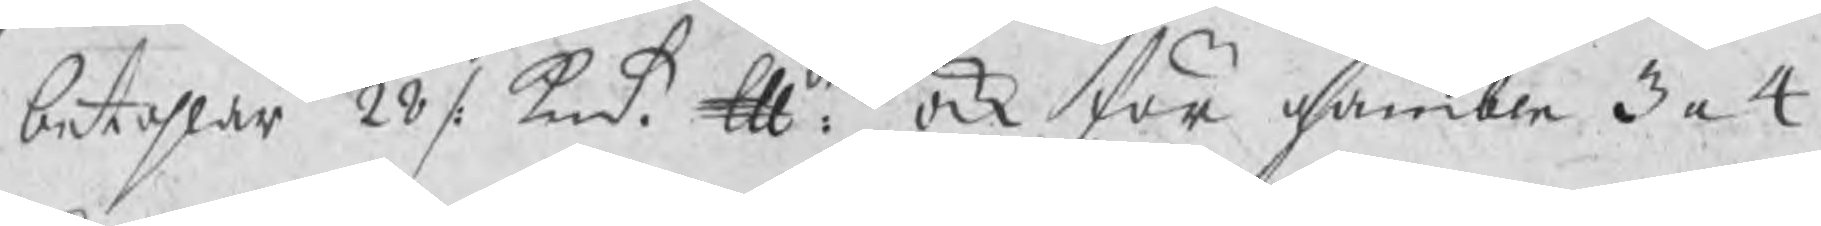betahlar 28 /: kmt. ℔det. ock för gamble 3 a 4
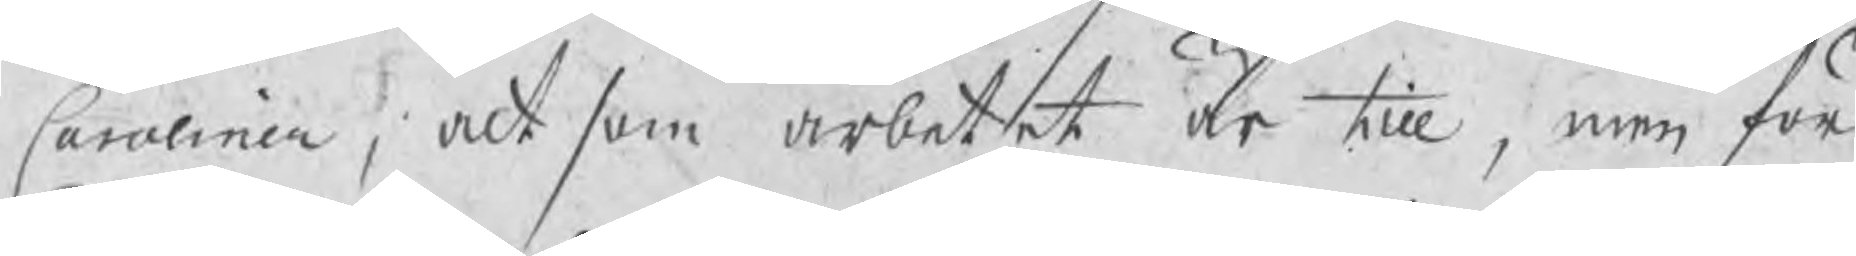Caroliner, altsom arbetet är till, men för
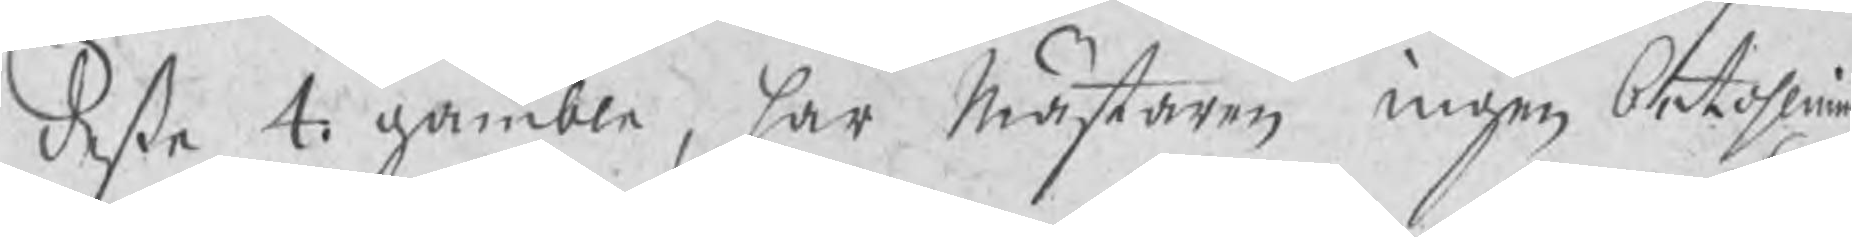desse 4. gamble, har Mästaren ingen betahlning
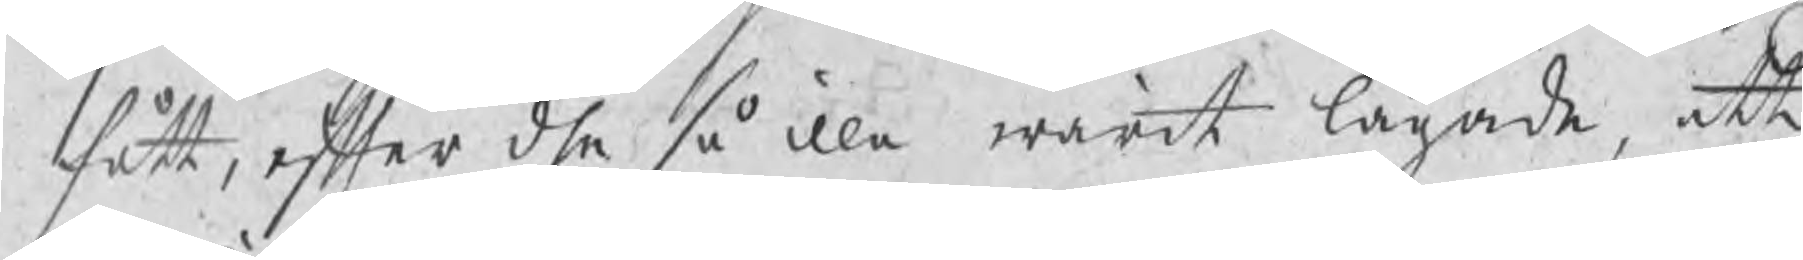fått, efter dhe såilla warit lagade, att
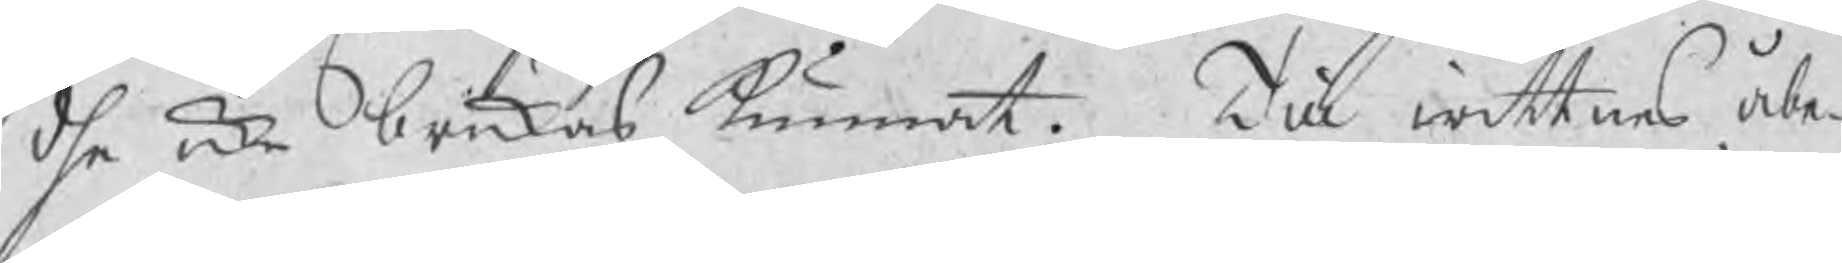dhe icke brukas kunnat. Till wittnes åbe¬
